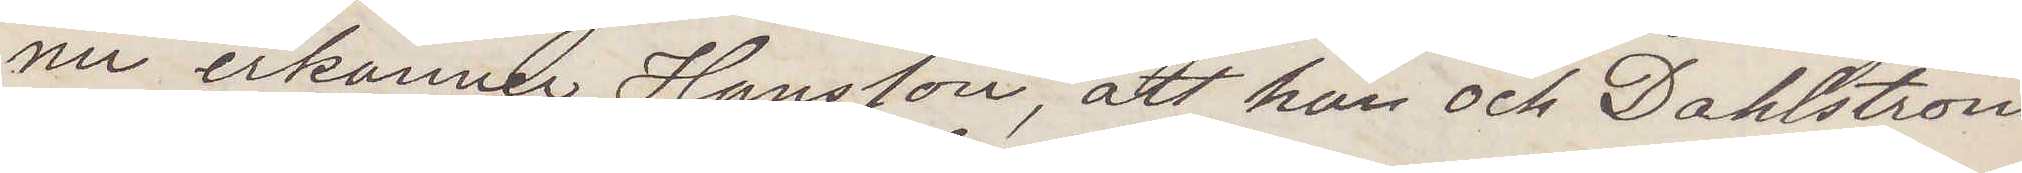nu erkänner Hansson, att han och Dahlström
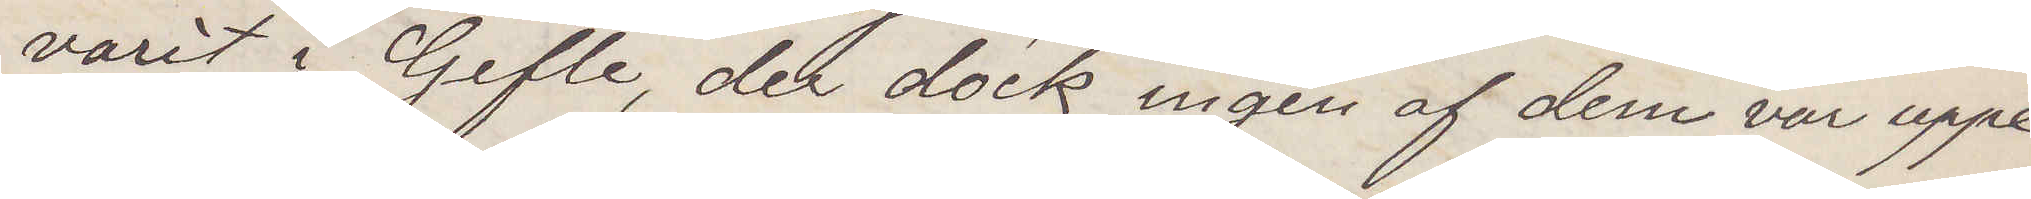varit i Gefle, der dock ingen af dem var uppe
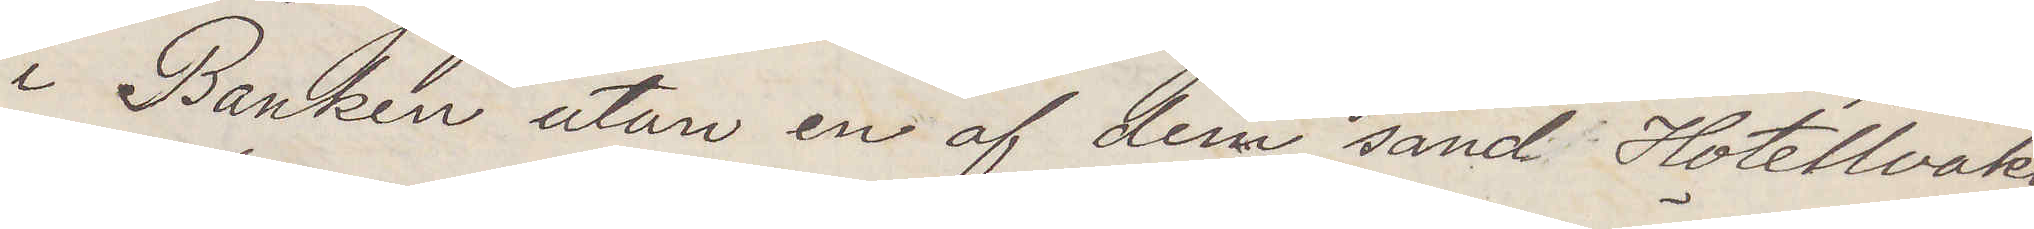i Banken utan en af dem sänd Hotellvakt¬
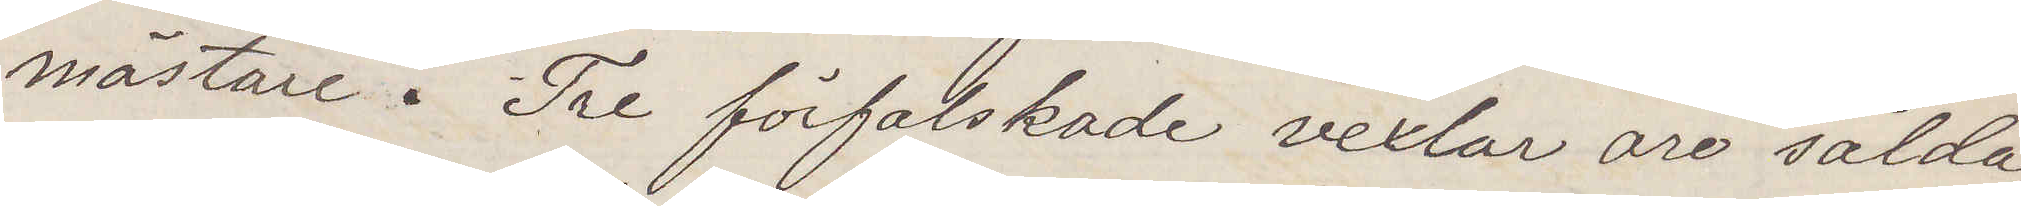mästare. Tre förfalskade vexlar äro sålda,
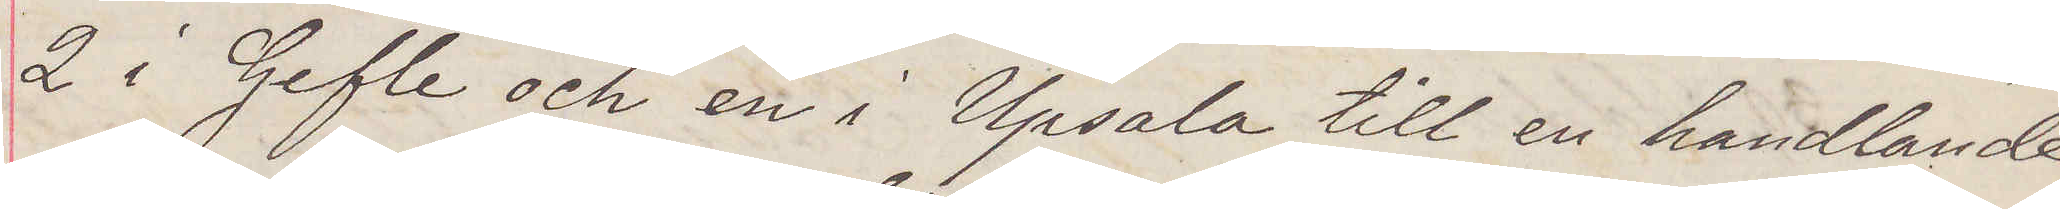2 i Gefle och en i Upsala till en handlande.
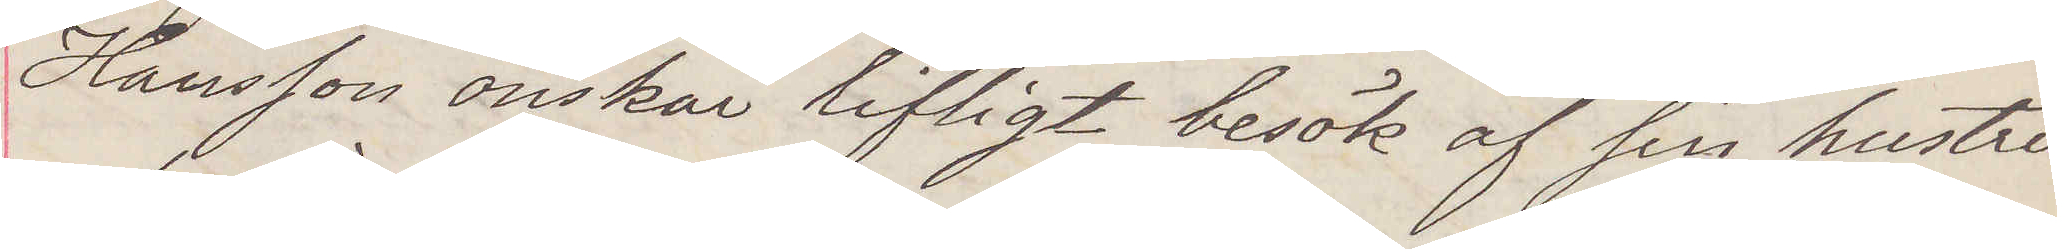Hansson önskar lifligt besök af sin hustru
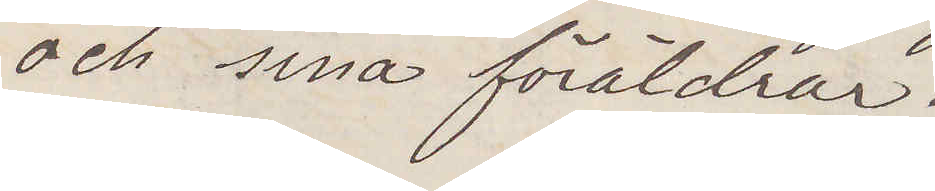och sina föräldrar.
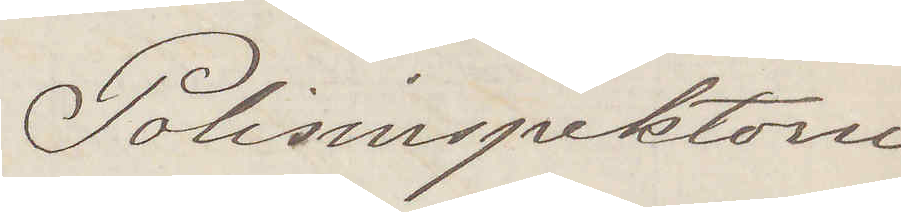Polisinspektorn
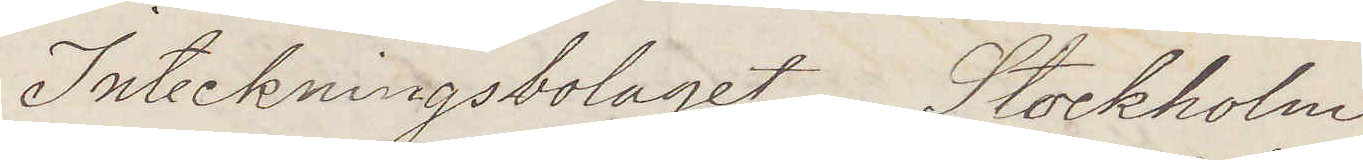Inteckningsbolaget Stockholm
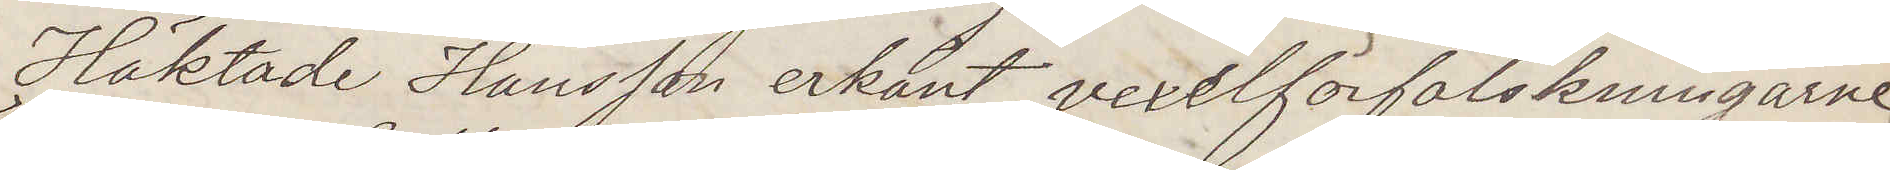Häktade Hansson erkänt vexelförfalskningarne
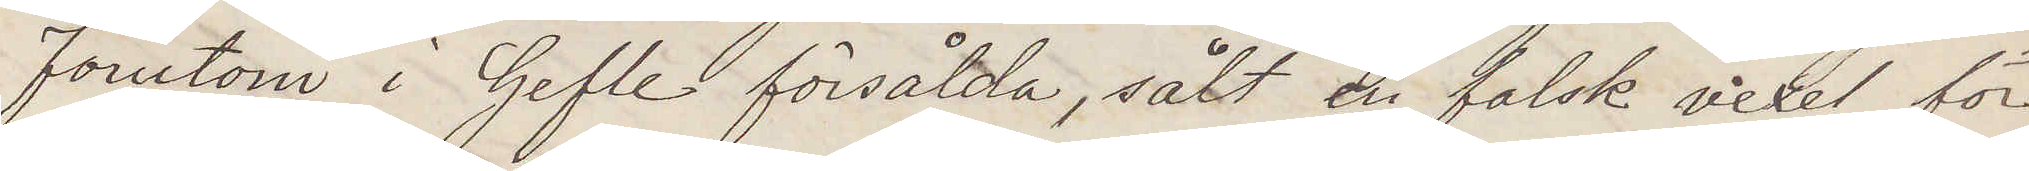förutom i Gefle försålda, sålt en falsk vexel för
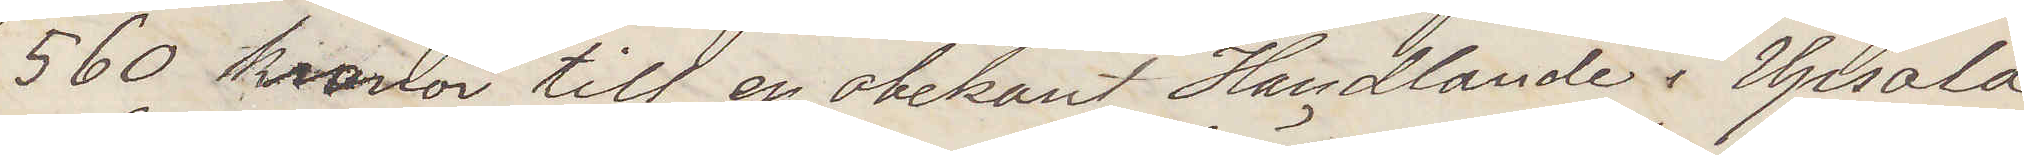560 kronor till en obekant Handlande i Upsala
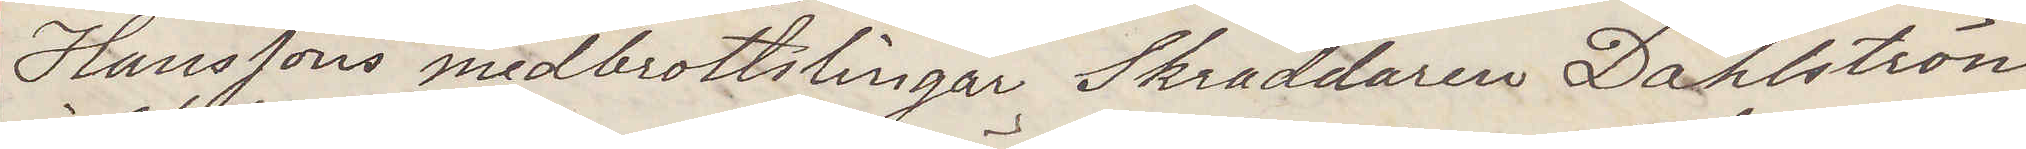Hanssons medbrottslingar Skräddaren Dahlström
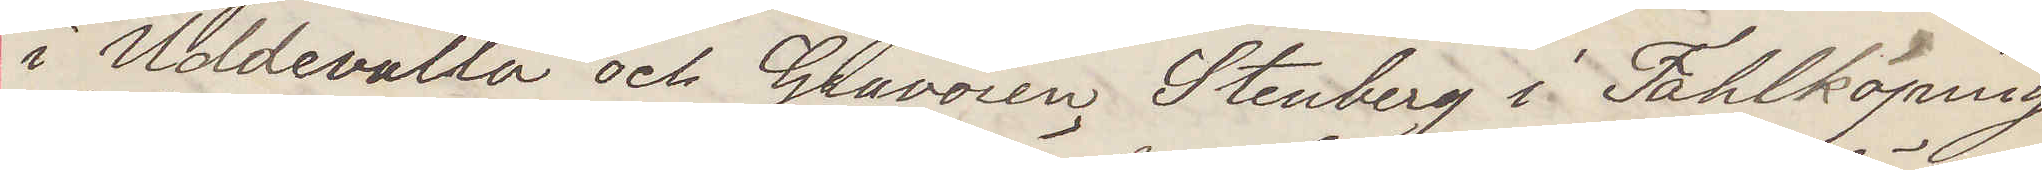i Uddevalla och Gravören Stenberg i Fahlköping,
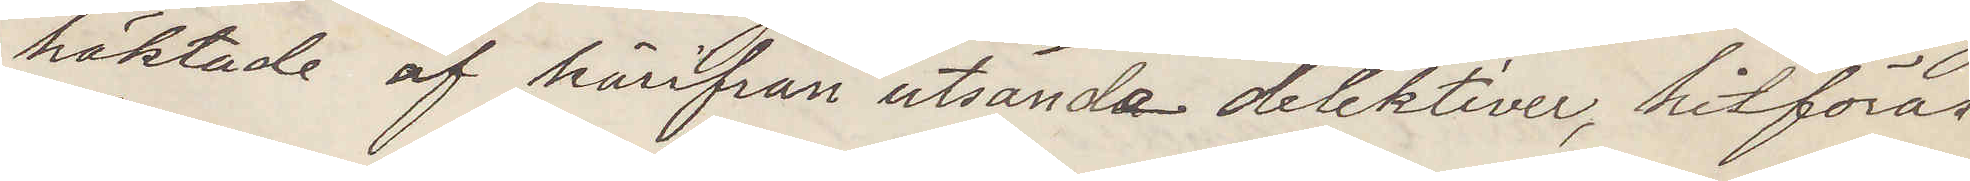häktade af härifrån utsände detektiver, hitföres
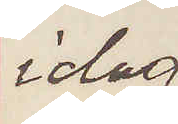idag
